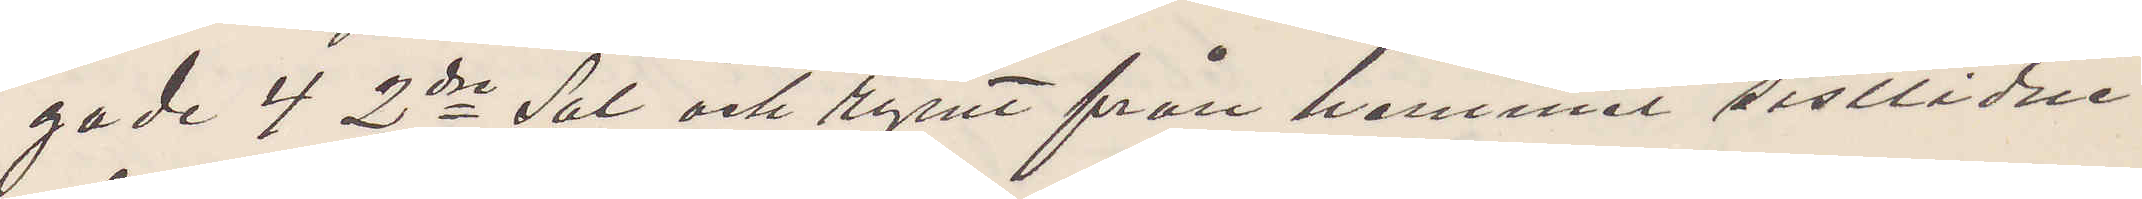gade 4 2dra Sal och rymt från hemmet sistlidne
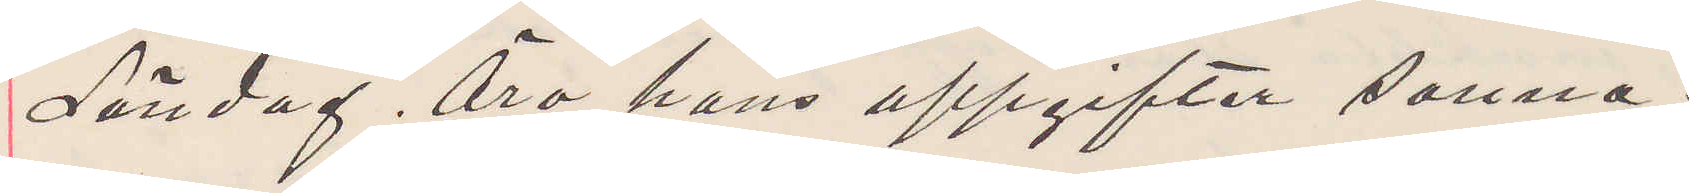Söndag, Äro hans uppgifter sanna.
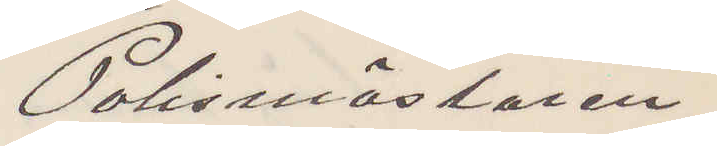Polismästaren.
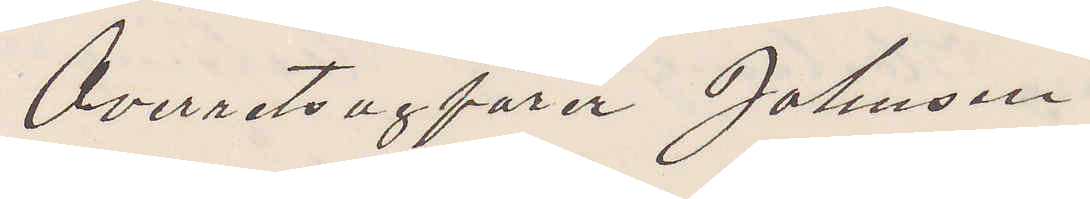Överretsagförer Johnsen
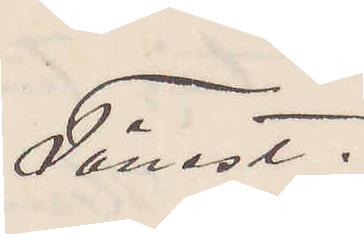Tönest.
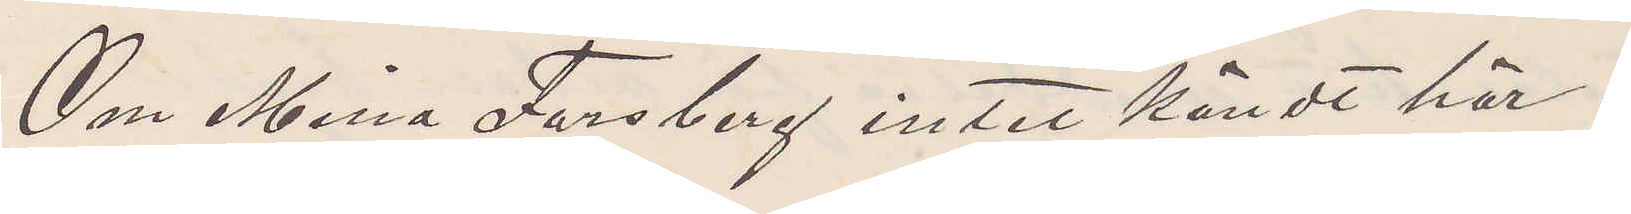Om Mina Forsberg intet kändt här.
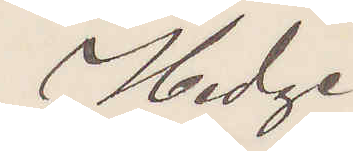Hedge
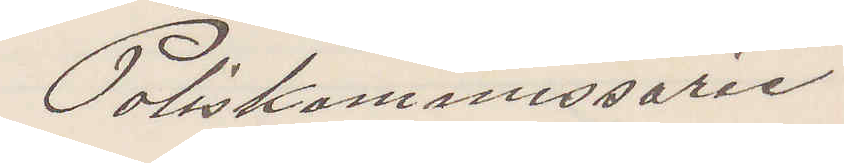Poliskommissarie
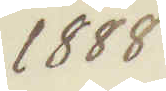1888
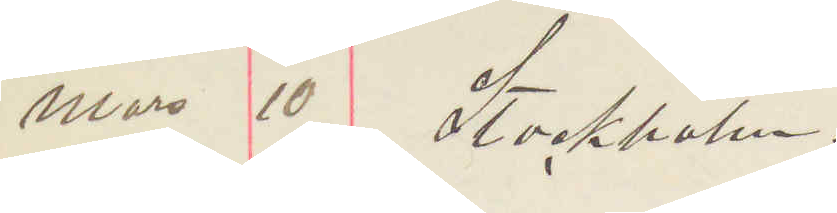Mars 10 Stockholm.
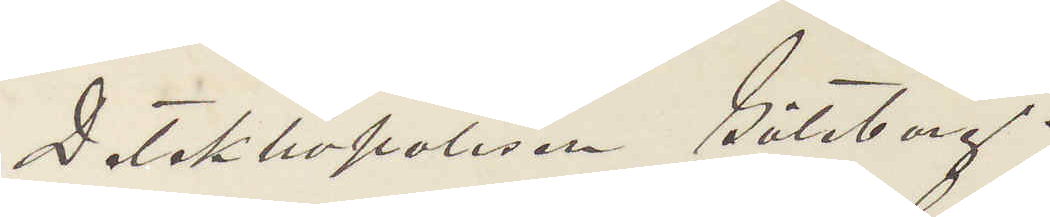Detektivpolisen Göteborg.
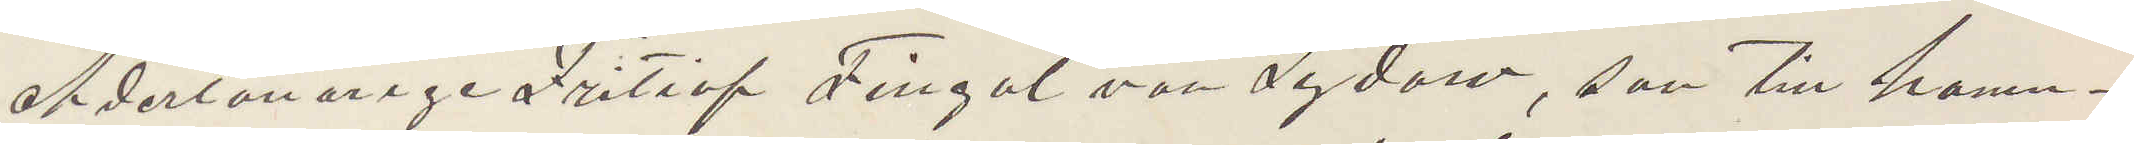Adertonårige Fritiof Fingal vor Sydow, son till hamn¬
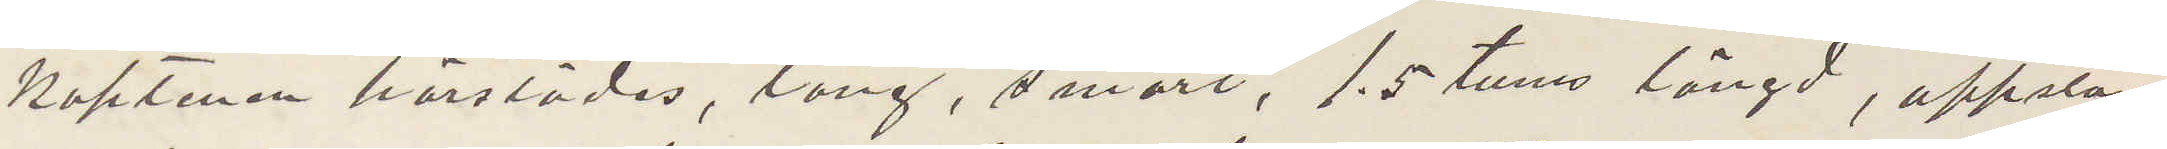Kaptenen härstädes, lång, smart, 1.5 tums längd, uppstå¬
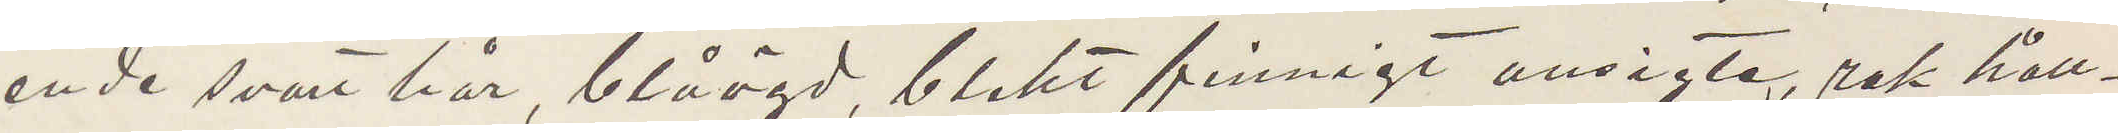ende svart hår, blåögd, blekt finnigt ansigte, rak håll¬
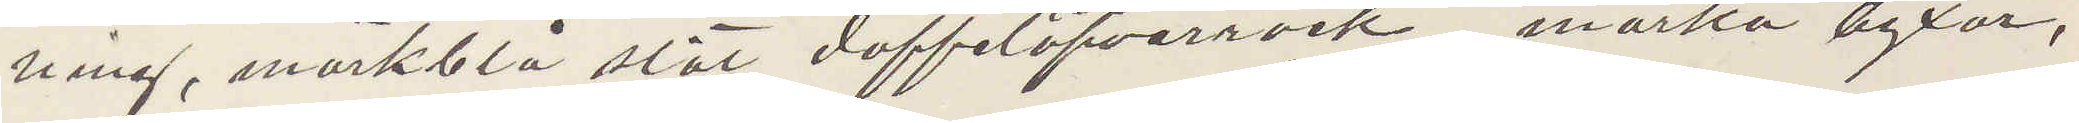ning, mörkblå slät doffelöfverrock, mörka byxor,
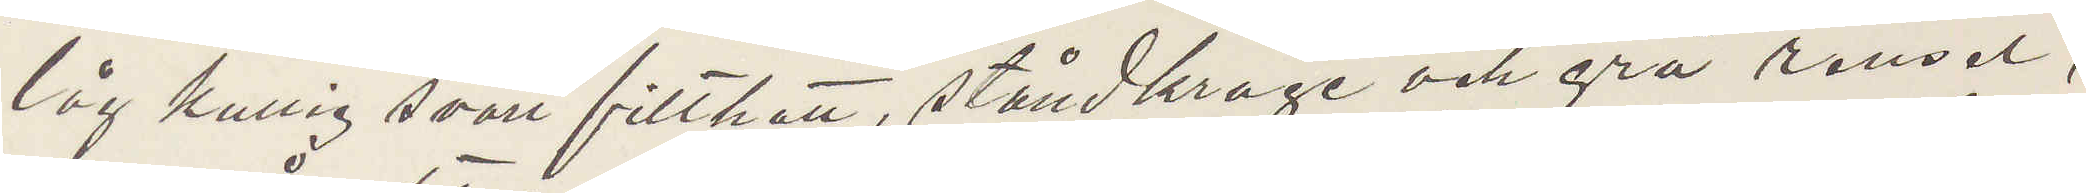låg kullig svart filthatt, ståndkrage och grå rensel,
